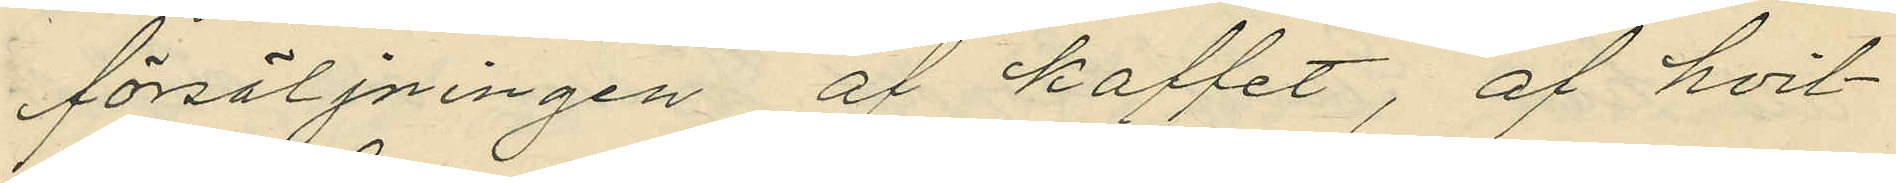försäljningen af kaffet, af hvil¬
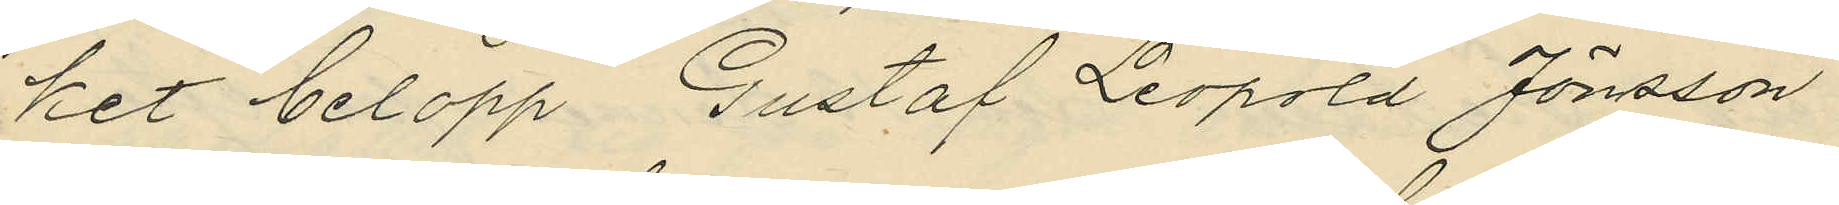ket belopp Gustaf Leopold Jönsson
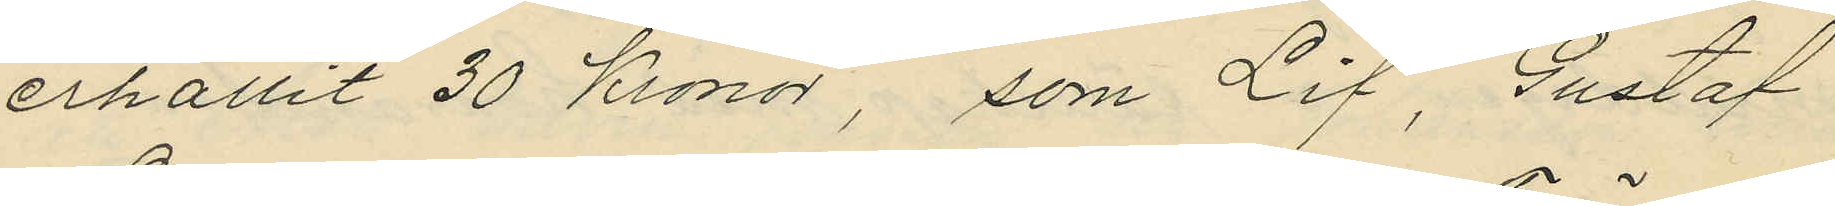erhållit 30 Kronor, som Lif, Gustaf
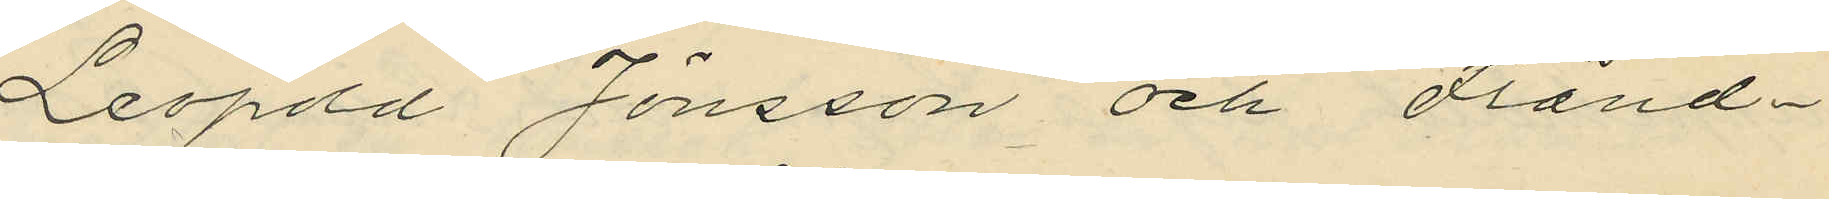Leopold Jönsson och Fränd¬
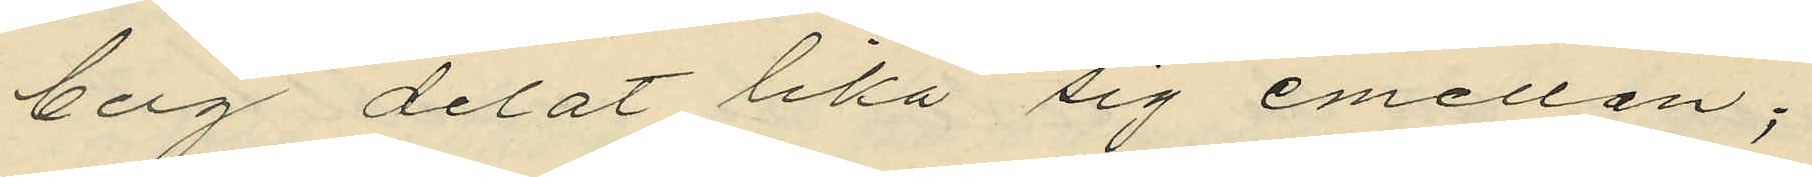berg delat lika sig emellan;
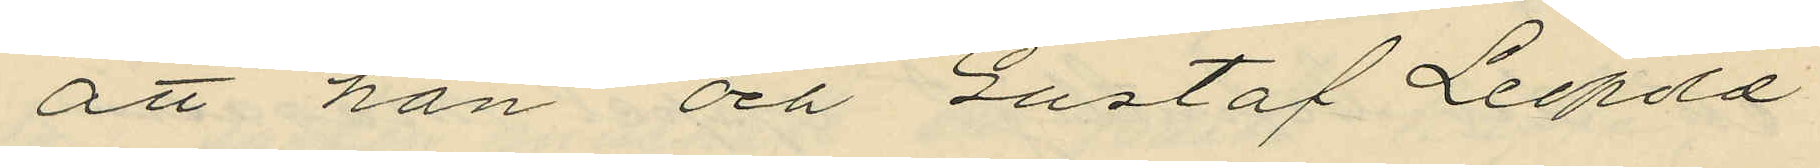att han och Gustaf Leopold
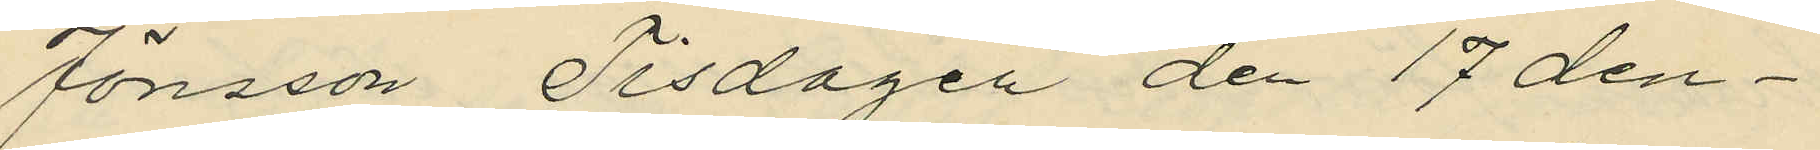Jönsson Tisdagen den 17 den¬
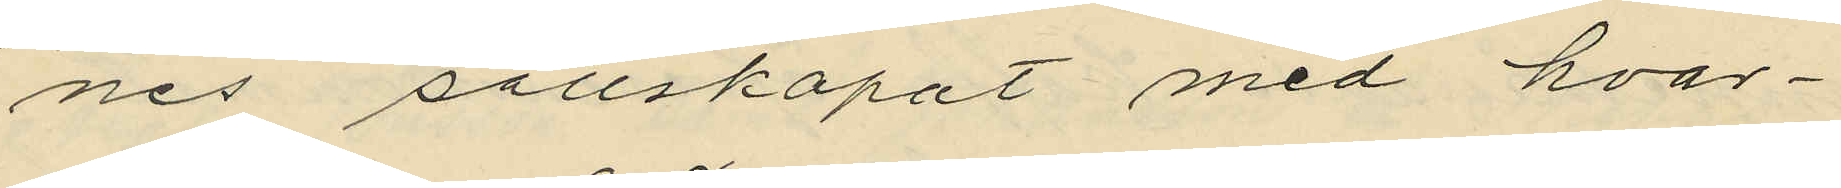nes sällskapat med hvar¬
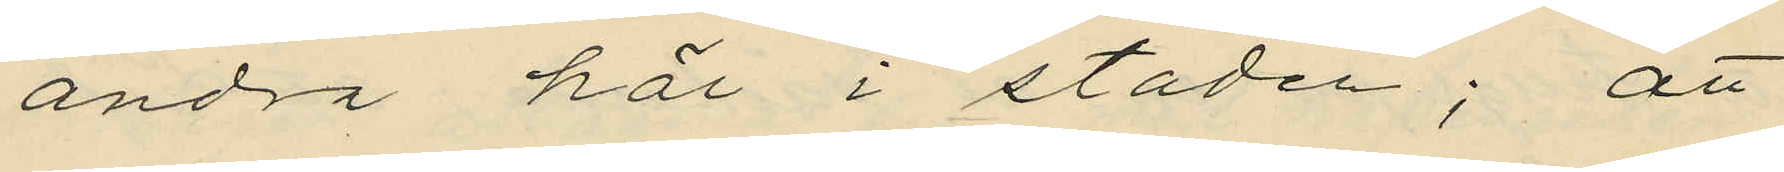andra här i staden; att
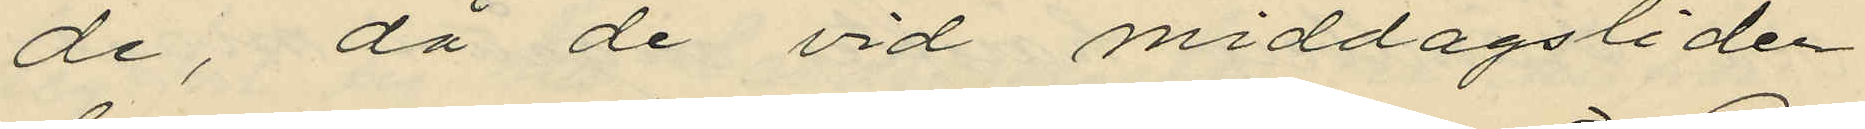de, då de vid middagstiden
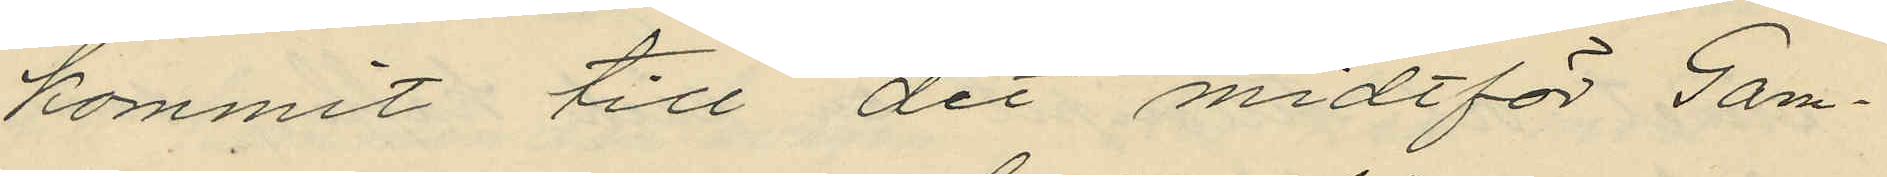kommit till det midtför Gam¬
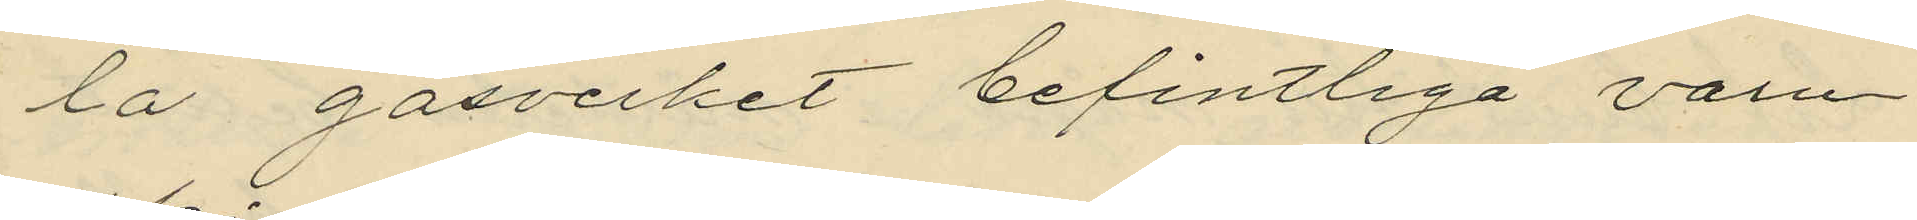la gasverket befintliga varu¬
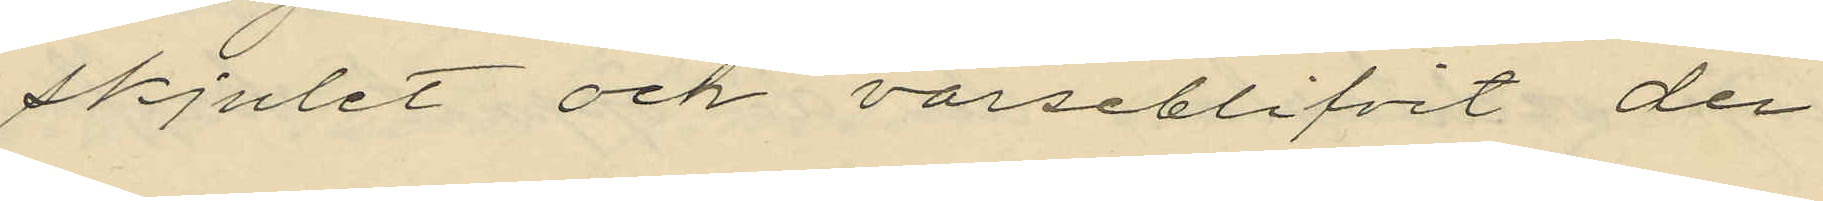skjulet och varseblifvit den
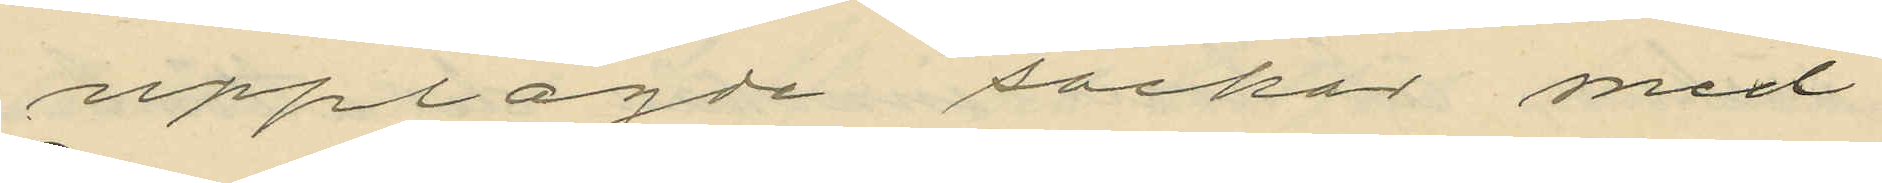upplagde säcken med
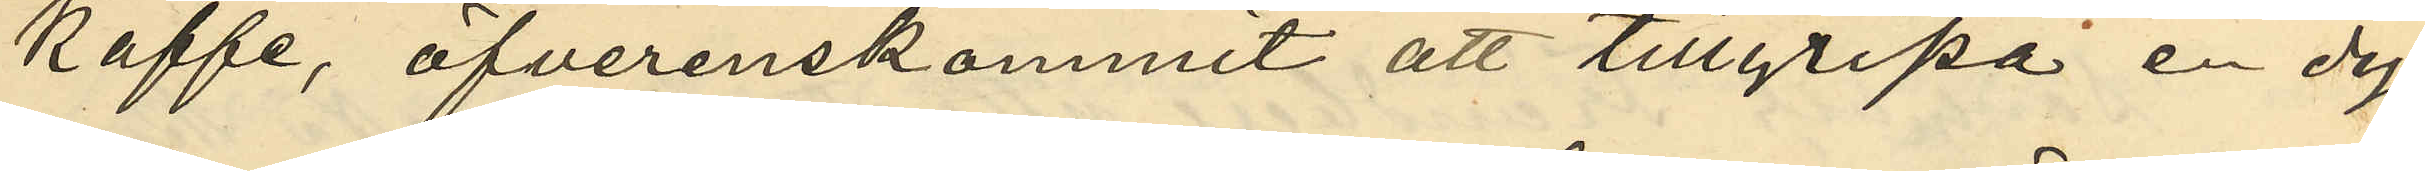kaffe, öfverenskommit att tillgripa en dy¬
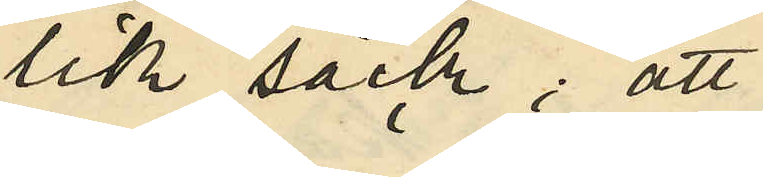lik säck; att
